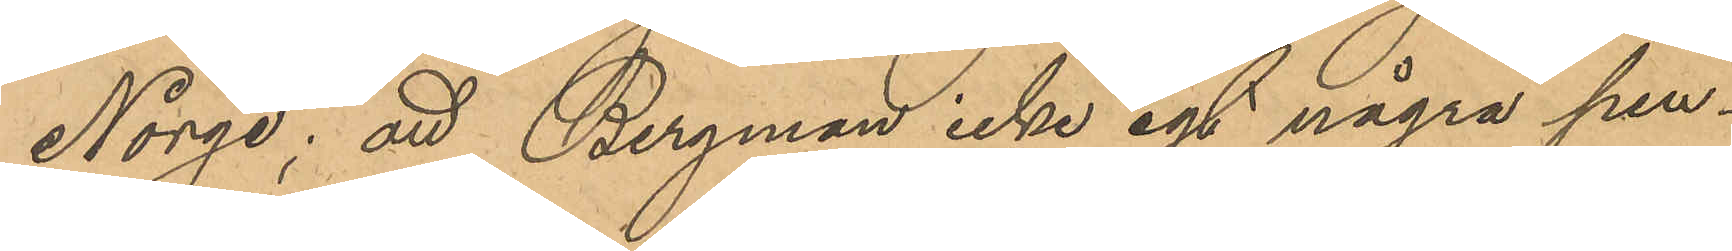Norge; att Bergman icke egt några pen¬
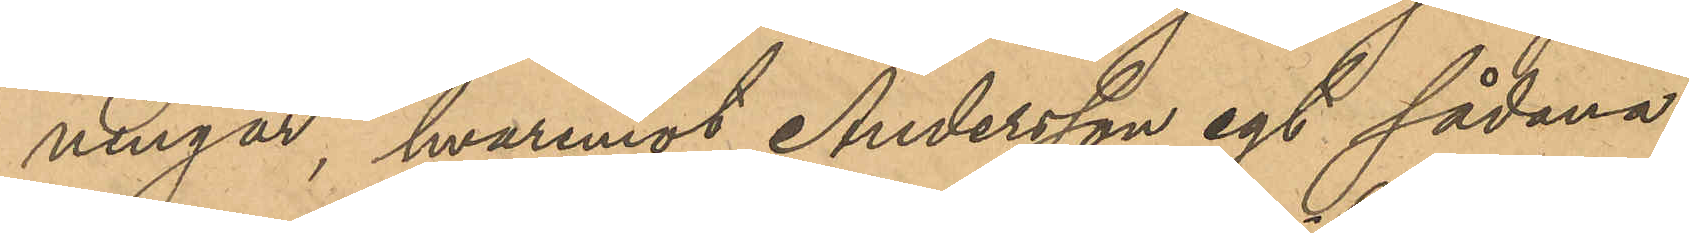ningar, hvaremot Andersson egt sådana;
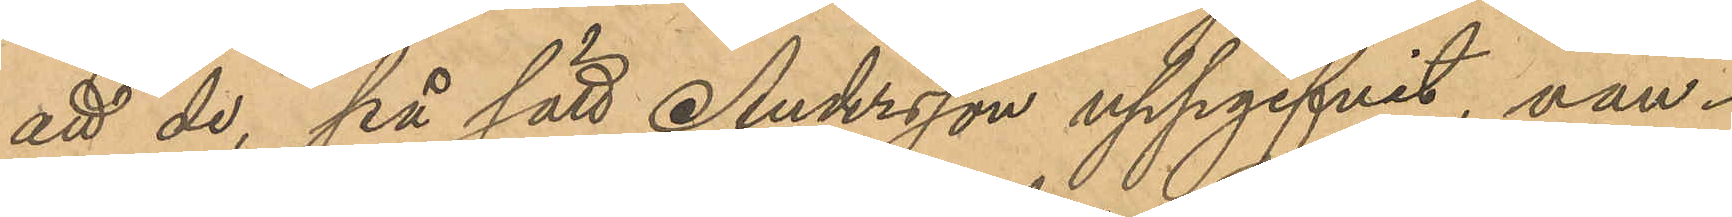att de, på sätt Andersson uppgifvit, van¬
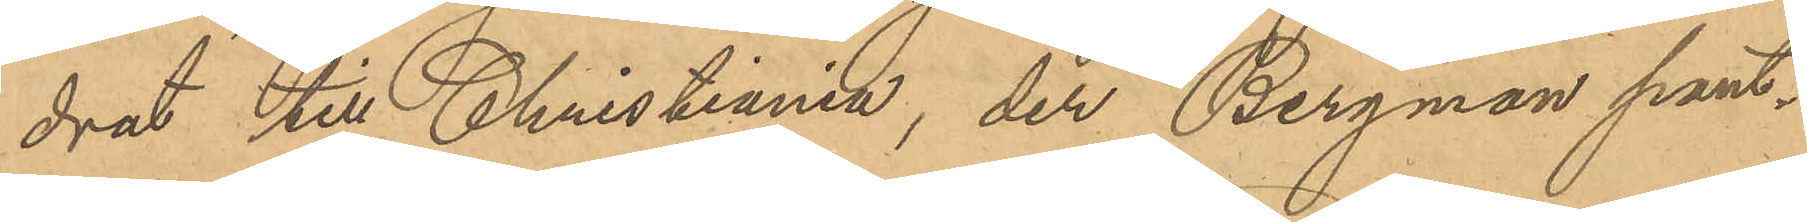drat till Christiania, der Bergman pant¬
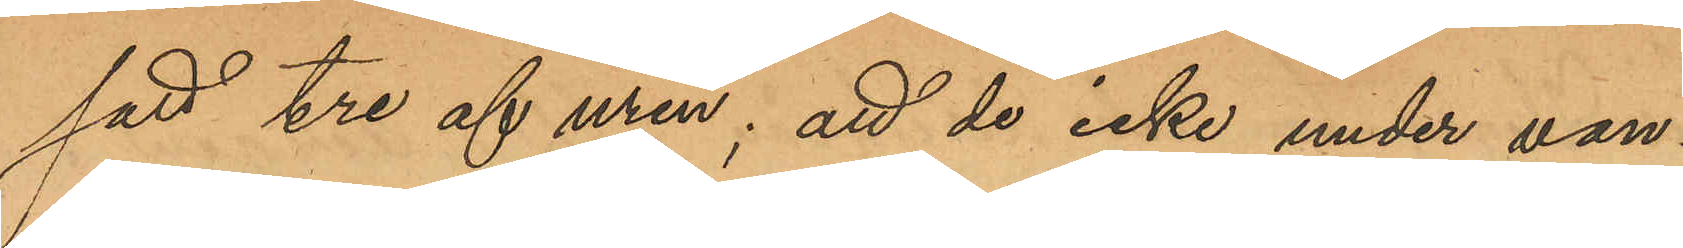satt tre af uren; att de icke under van¬
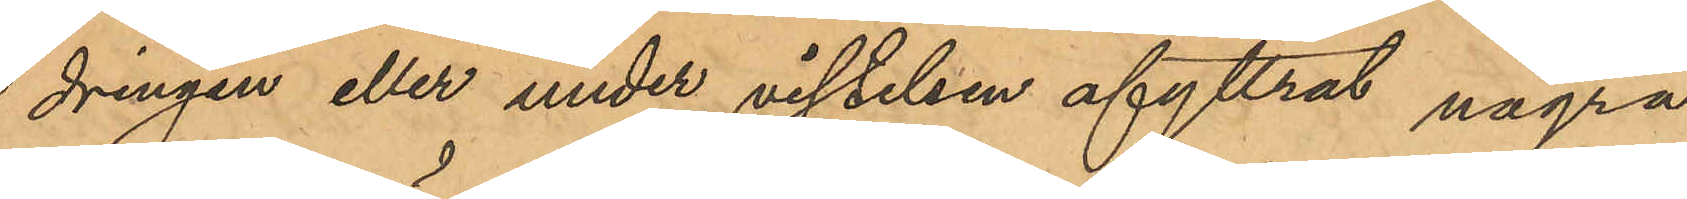dringen eller under vistelsen afyttrat några
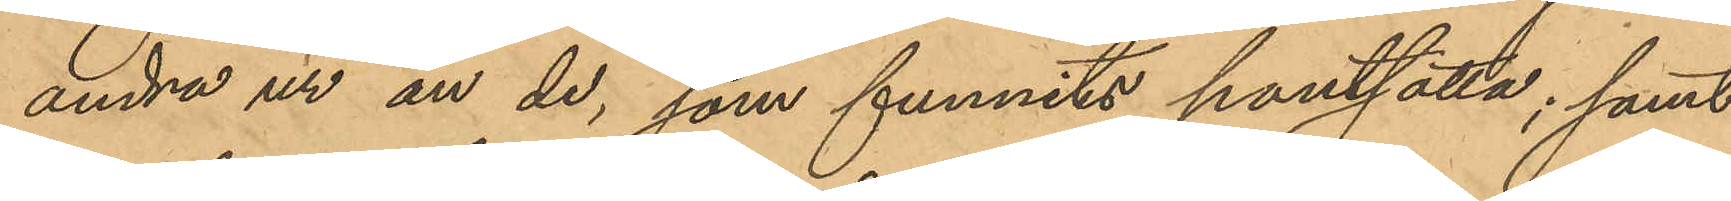andra ur än de, som funnits pantsatta; samt
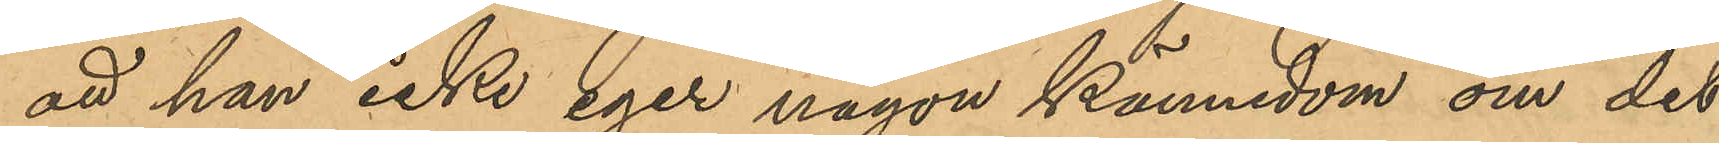att han icke eger någon kännedom om det
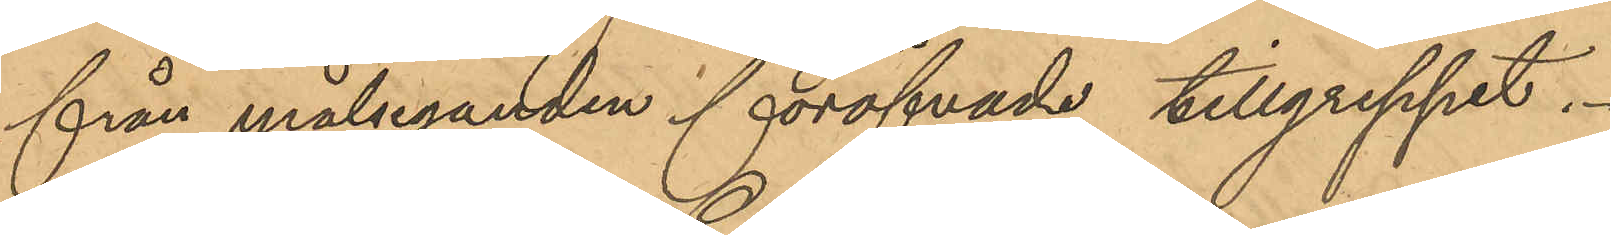från målseganden föröfvade tillgreppet.
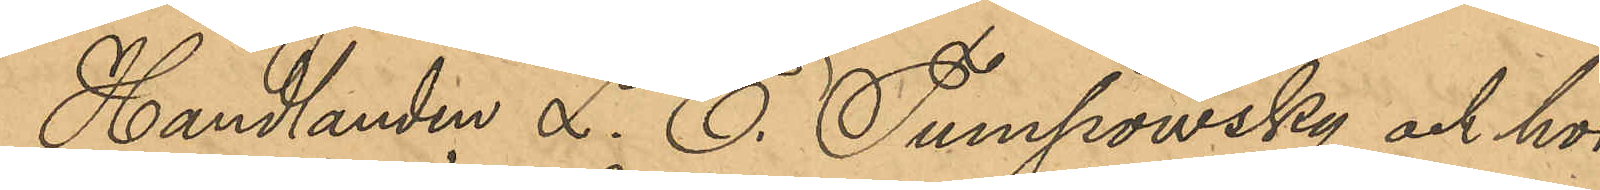Handlanden L. E. Tumpowsky och hos
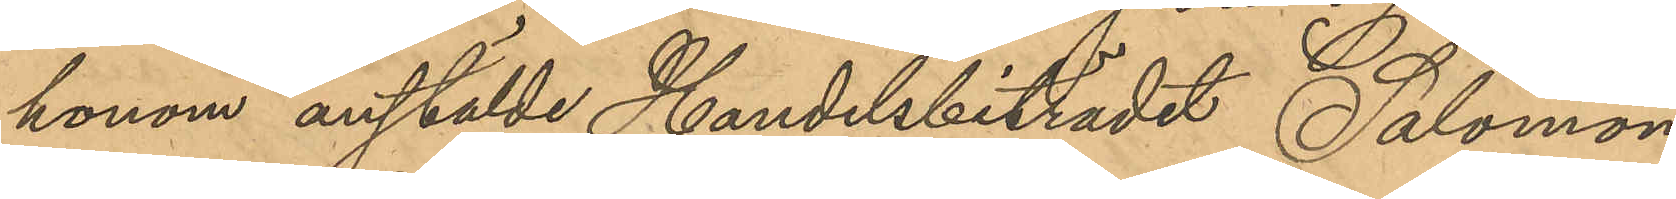honom anstälde Handelsbiträdet Salomon
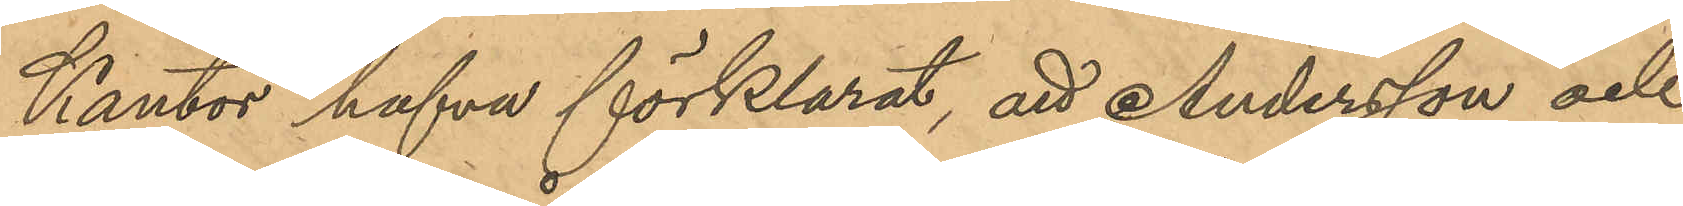Kantor hafva förklarat, att Andersson och
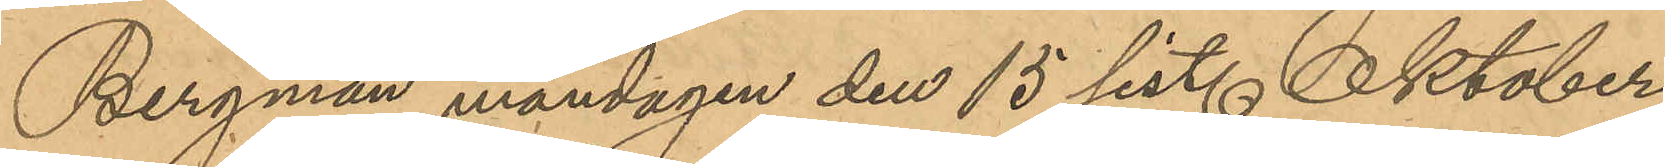Bergman måndagen den 15 sist. Oktober
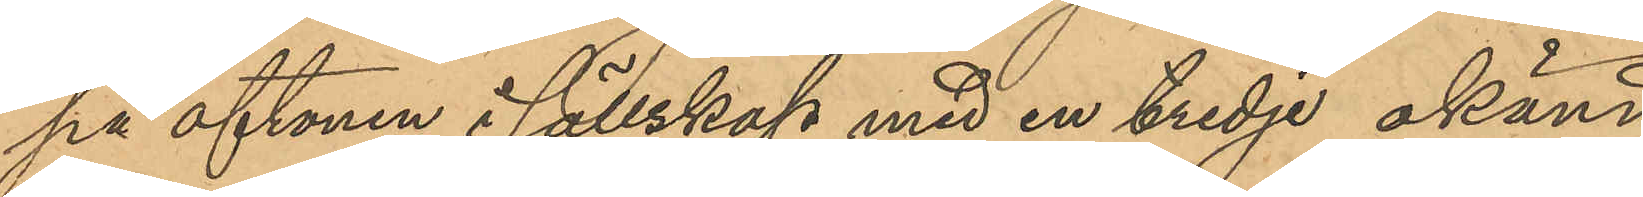på aftonen i sällskap med en tredje okänd
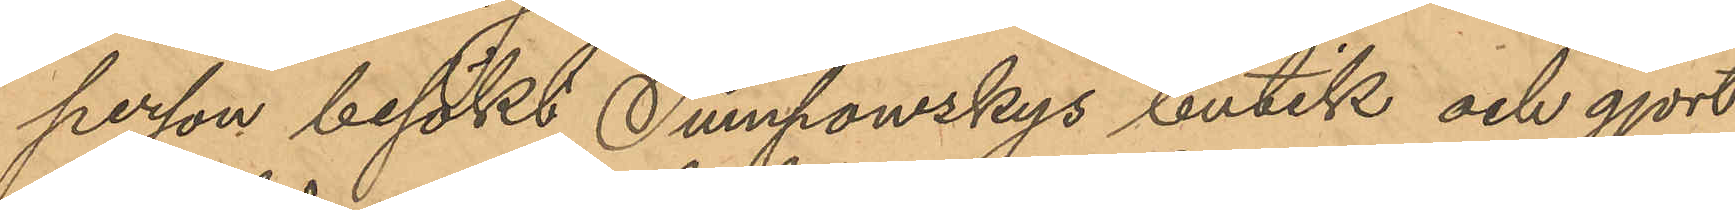person besökt Tumpowskys butik och gjort
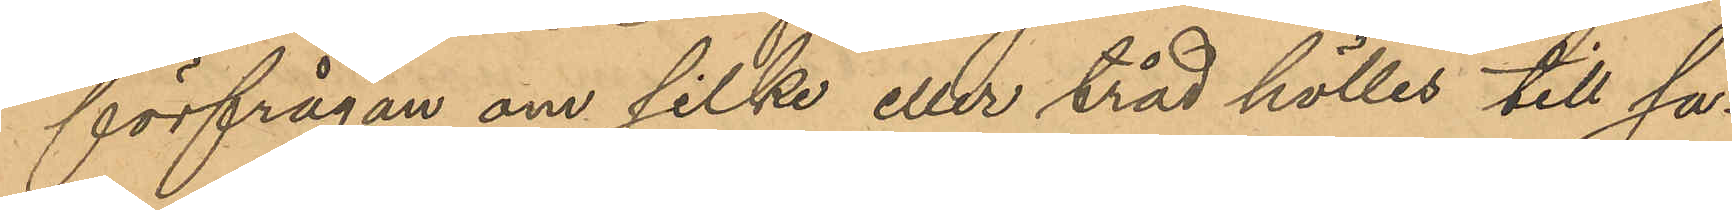förfrågan om silke eller tråd hölles till sa¬
